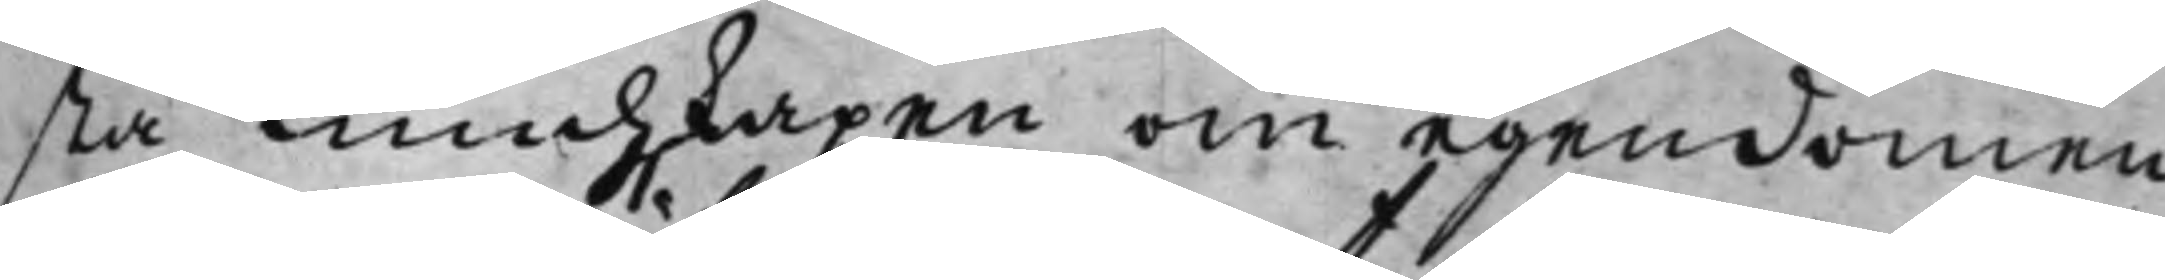sta Kundskapen om egendomen
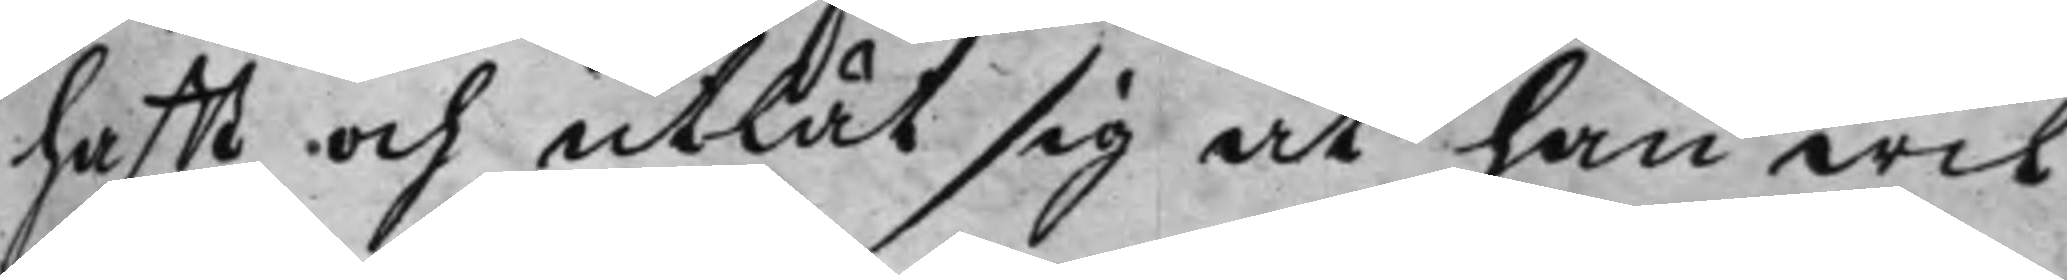hafft och utlät sig at han wil
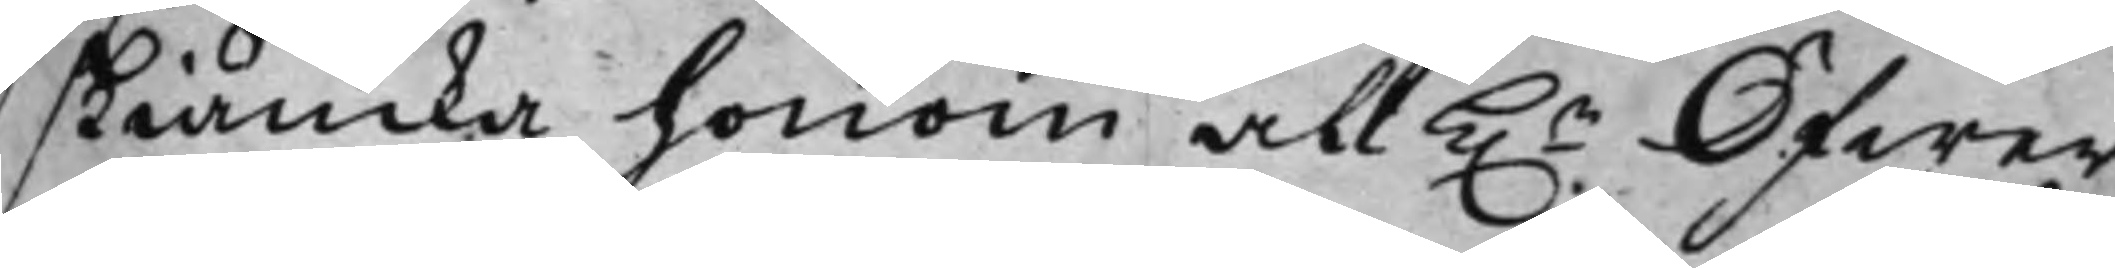skiäncka honom all h.r Öfwer¬
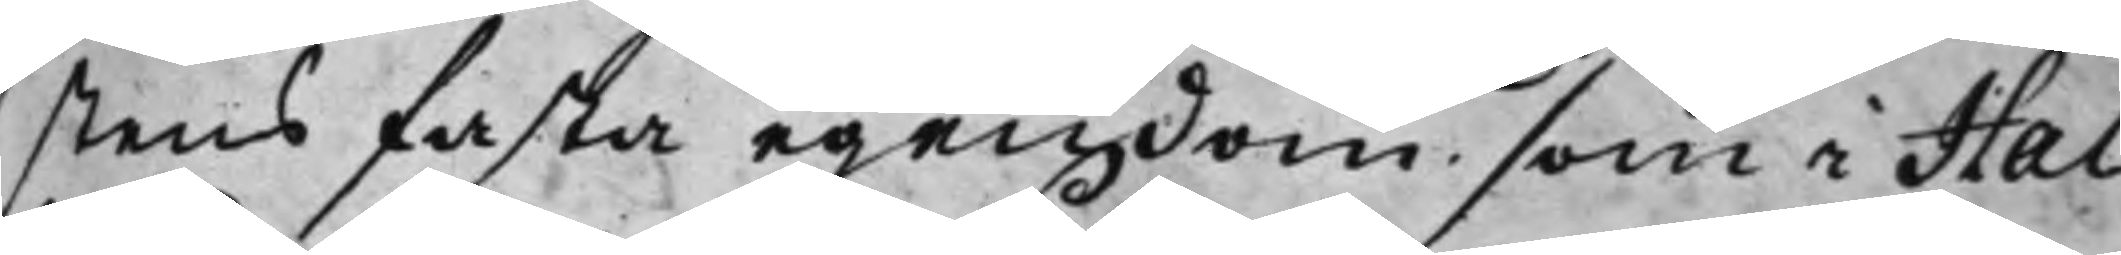stens fasta egendom, som i Hal¬
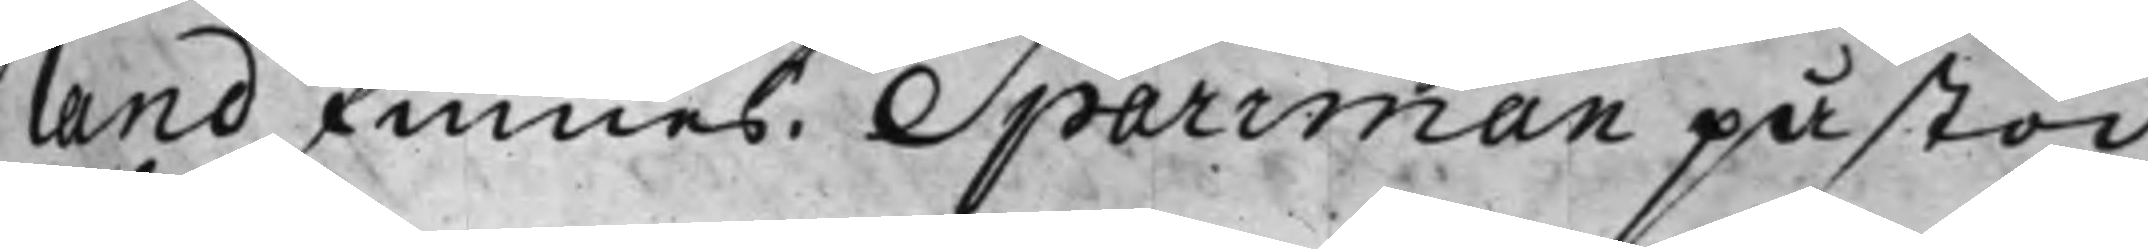land finnes. Sparrman påstod,
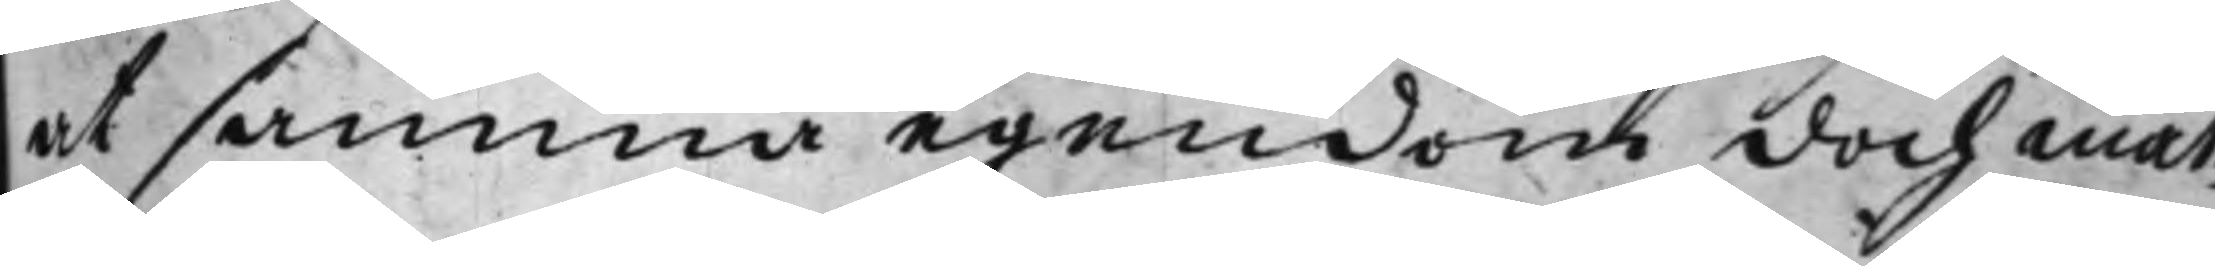at samma egendom doch måt¬
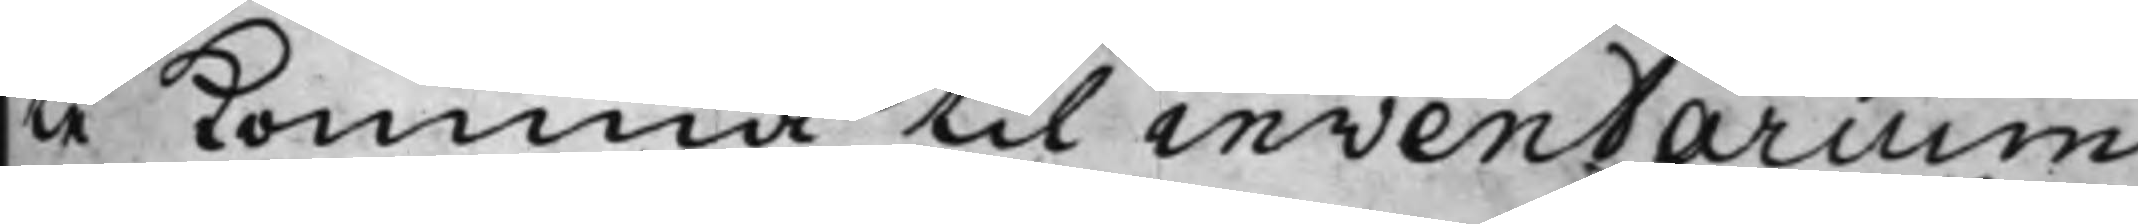te komma til inventarium
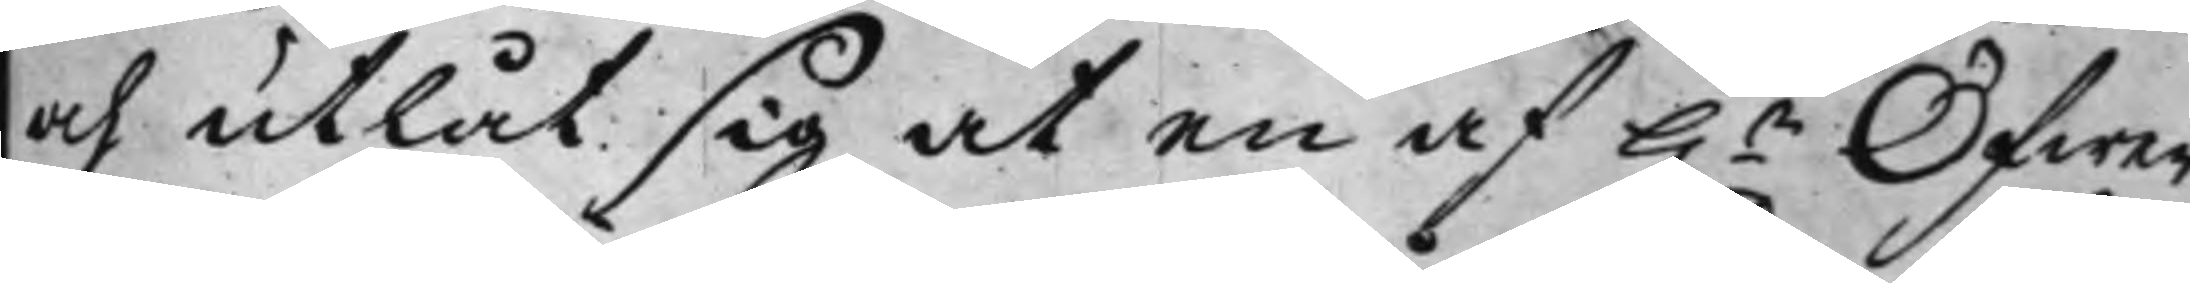och utlät sig at en af h.r Öfwer¬
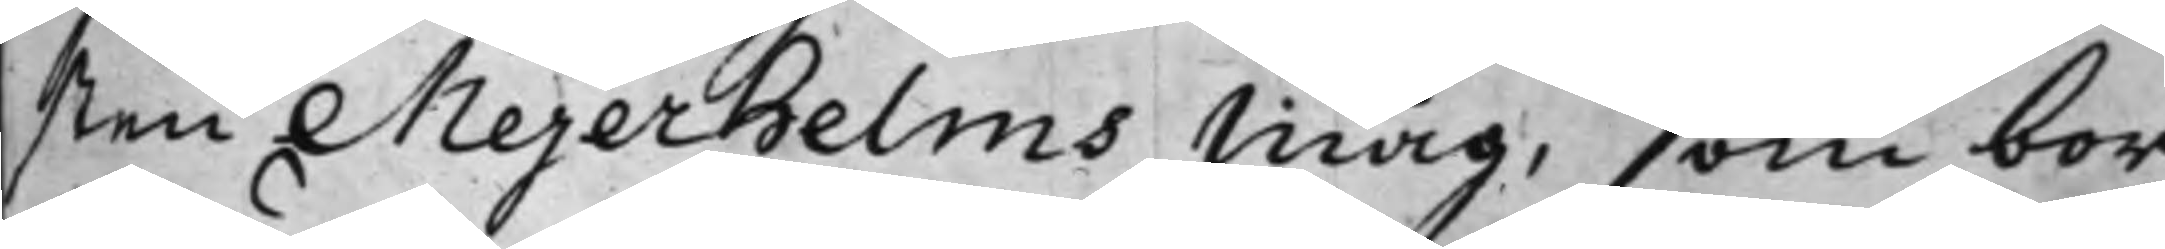sten Mejerhelms måg, som bor
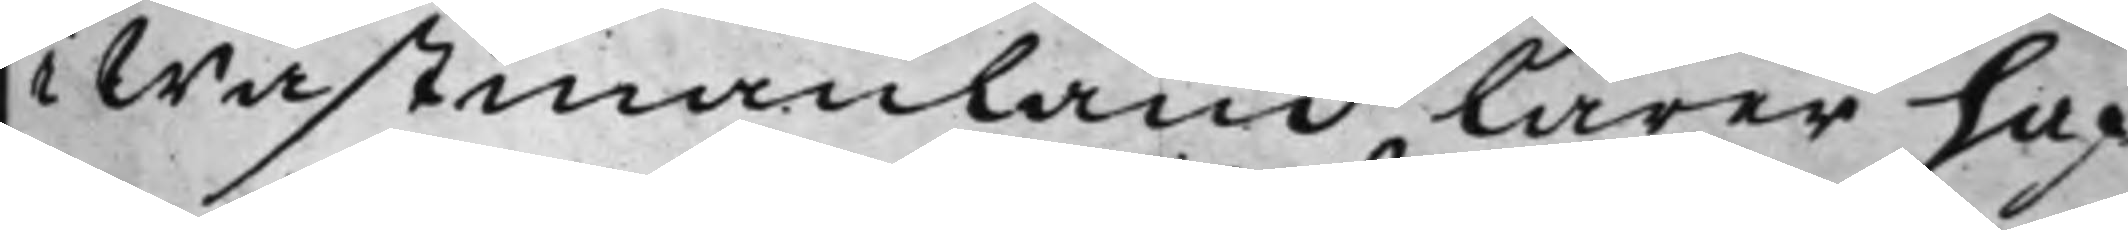i Wästmanland, lärer haf¬
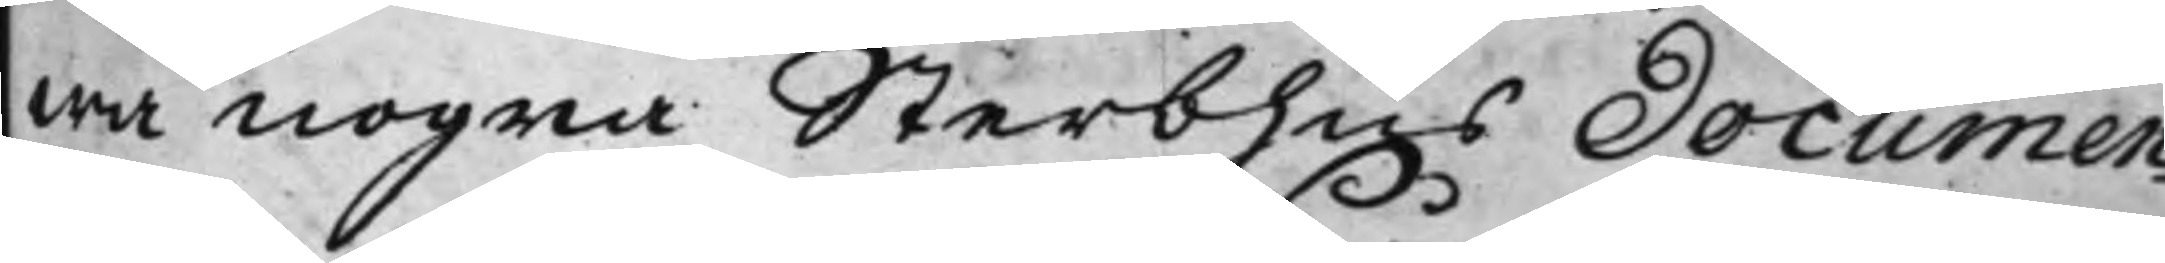wa nogra Sterbhus Documen¬
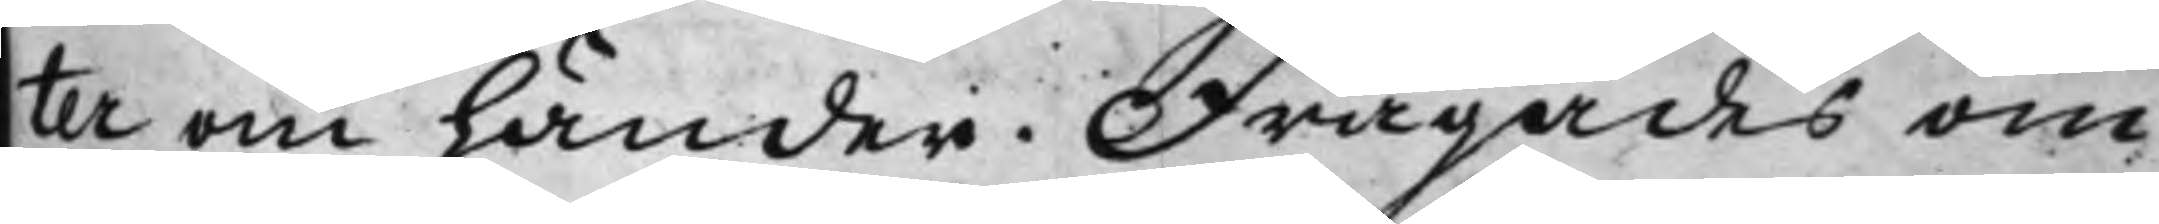ter om händer. Frågades om
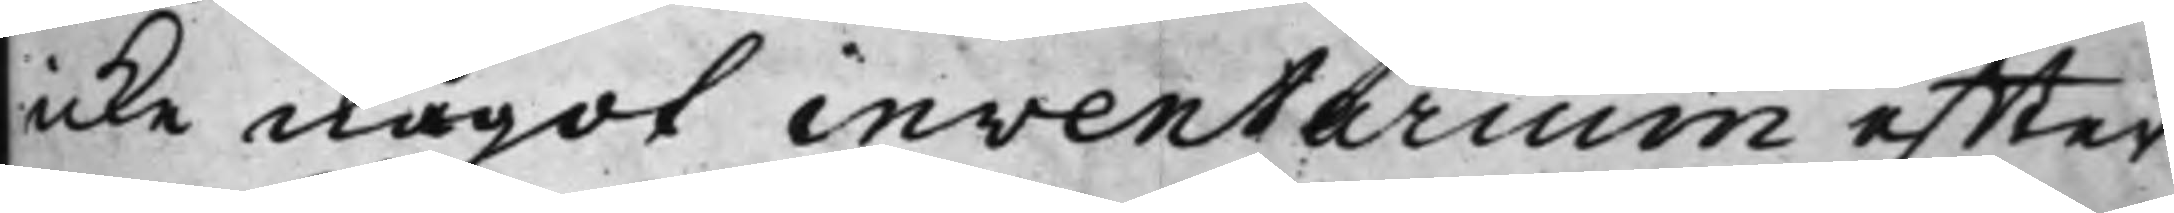icke något inventarium effter
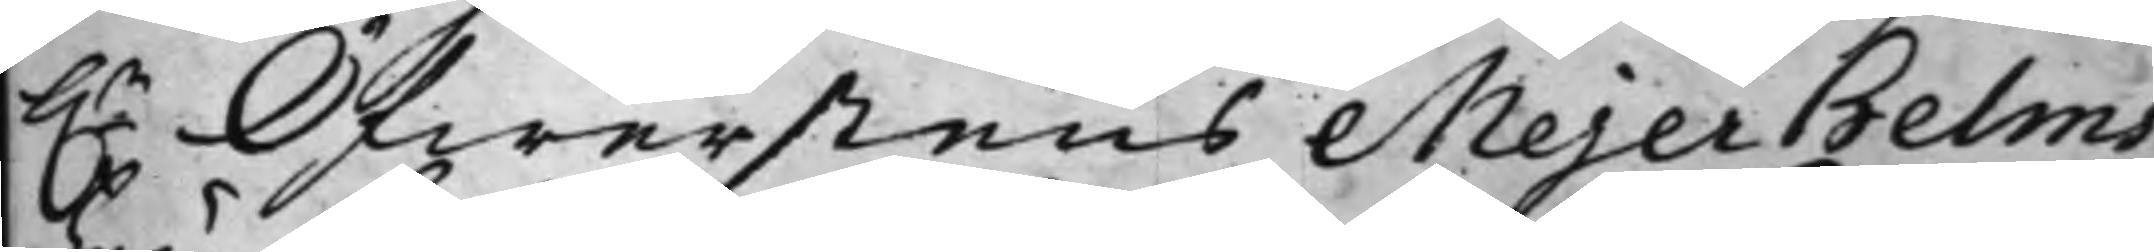h.r Öfwerstens Mejerhelms
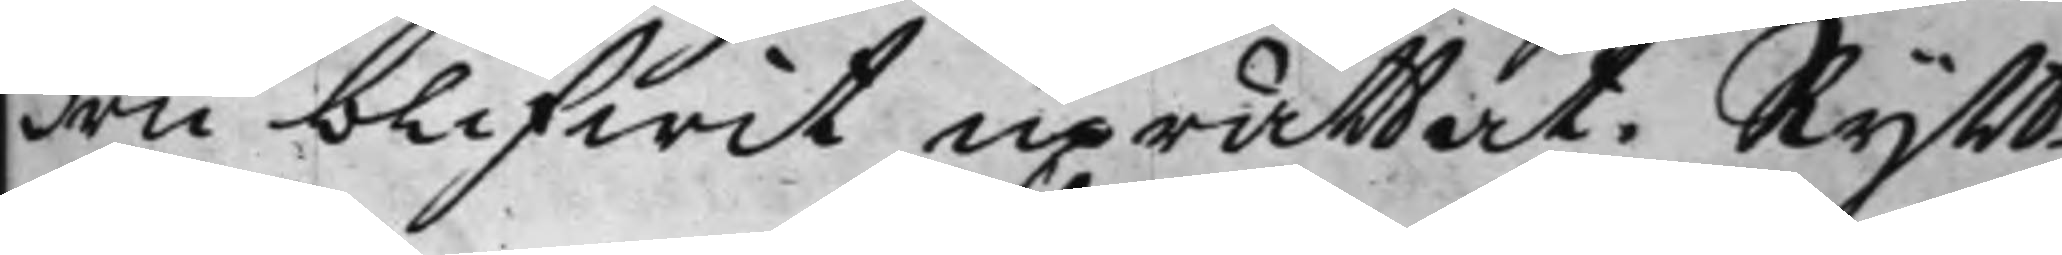Fru blifwit uprättat. Rytt¬
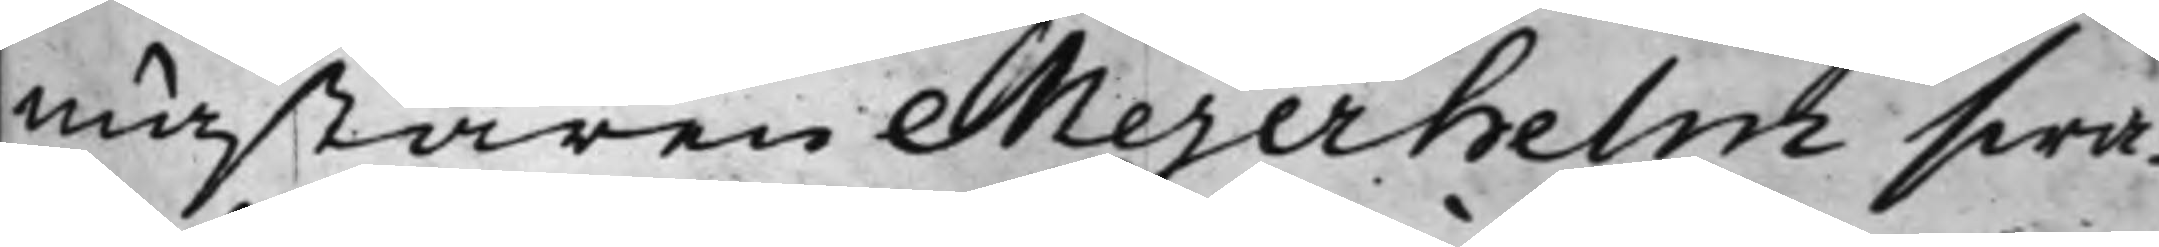mästaren Mejerhelm swa¬
